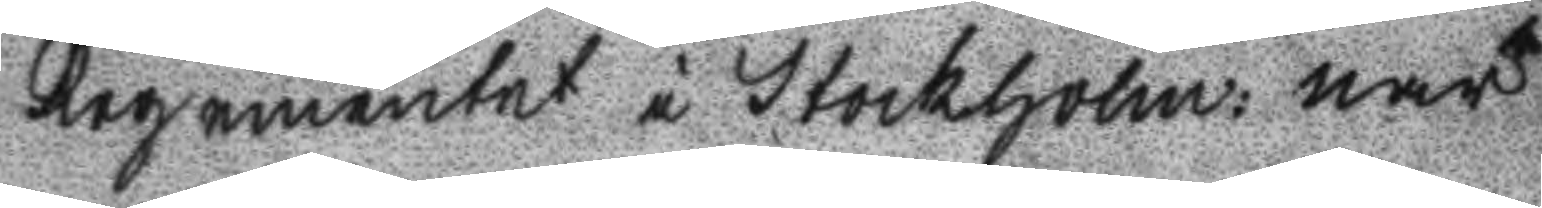Regementet i Stockholm när
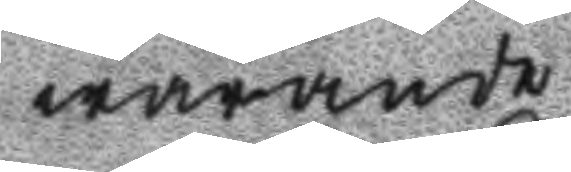warande
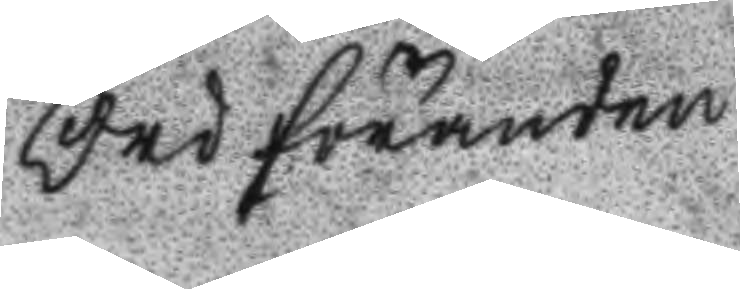Ordföranden
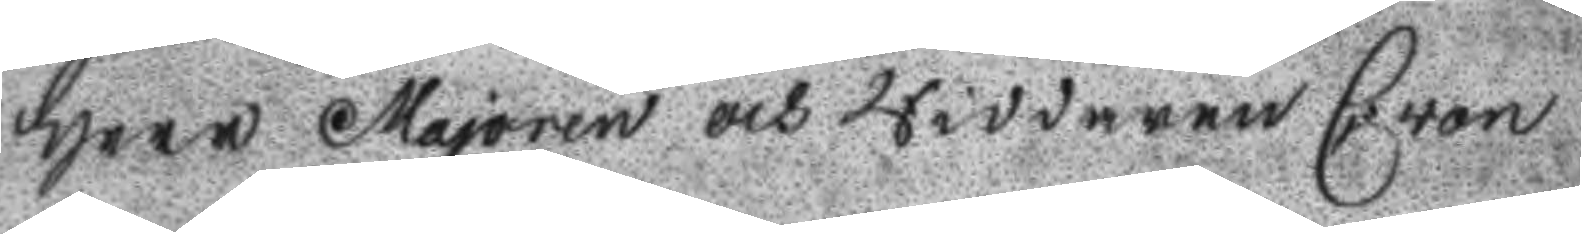Herr Majoren och Riddaren C von
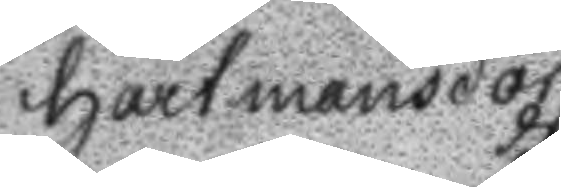Hartmansdorff
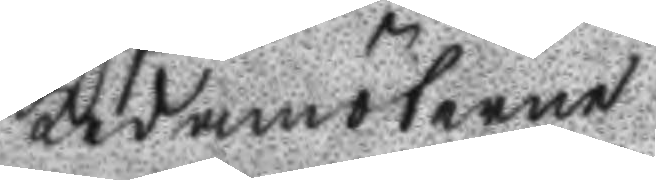Ledamöterne
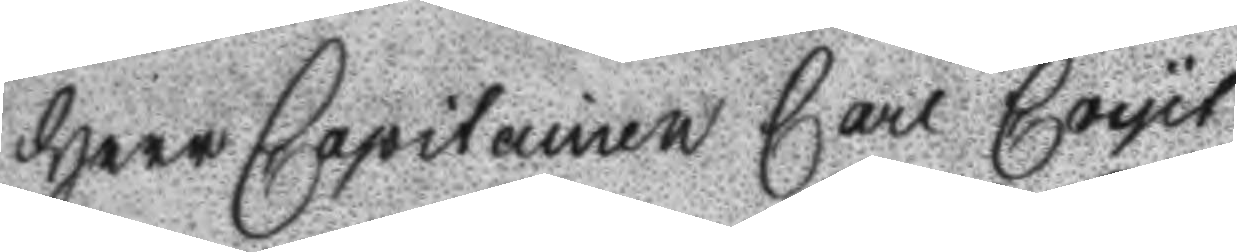Herr Capitainen Carl Coyet
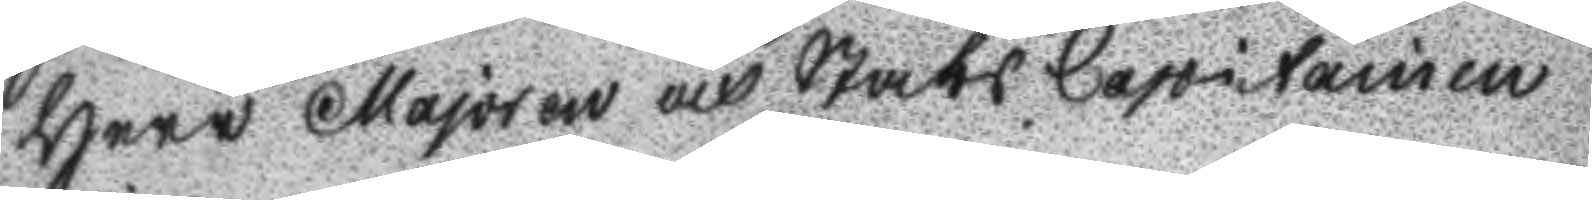Herr Majoren och Stabs Capitainen
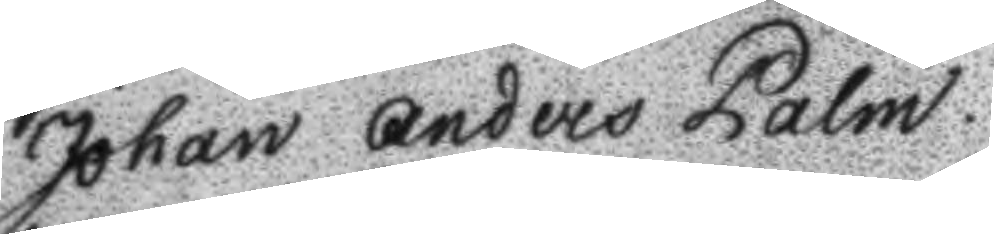Johan Anders palm.
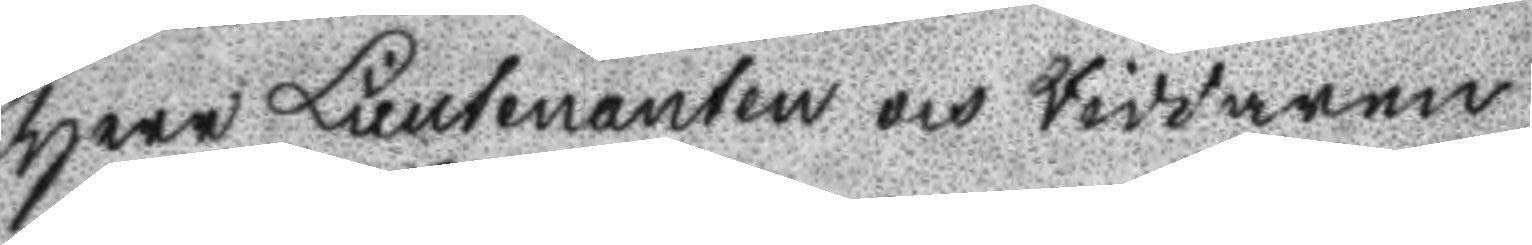Herr Lieutenanten och Riddaren
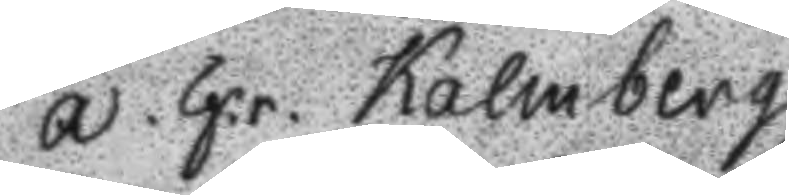A. G.r. kalmberg
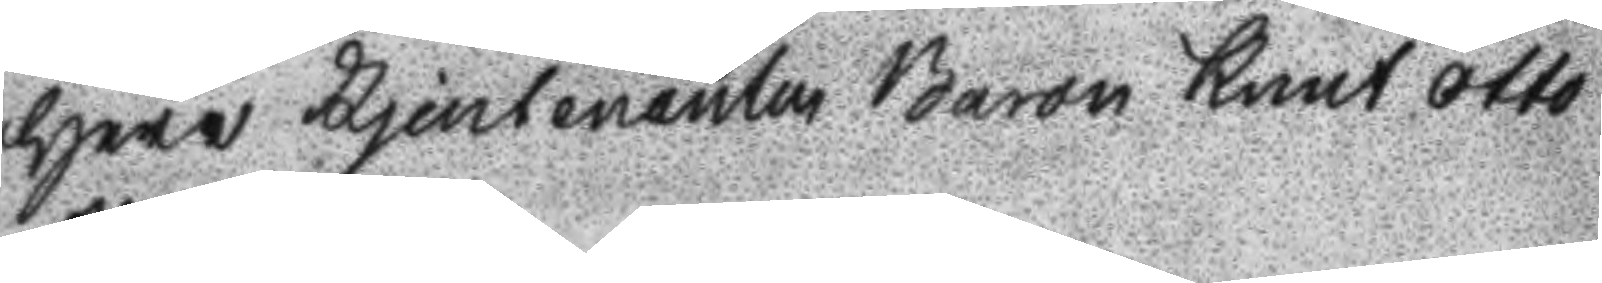Herr Ljeutenanten Baron Knut Otto
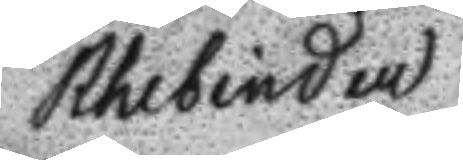Rhebinder
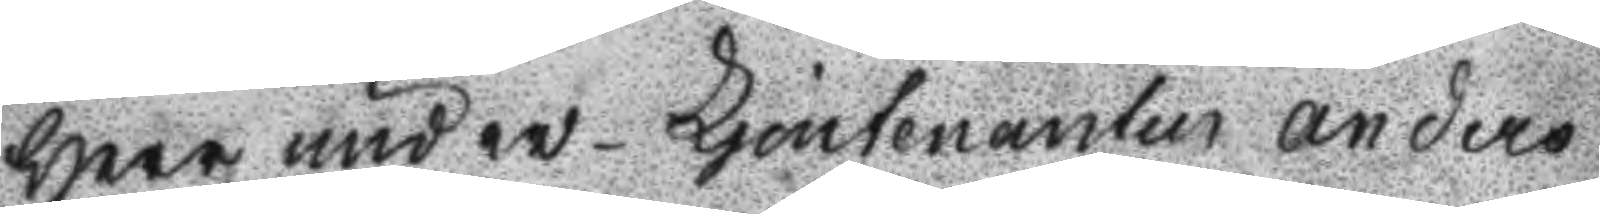Herr under- Ljeutenanten Anders
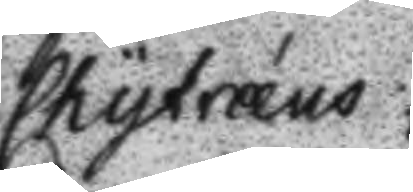Chytræus
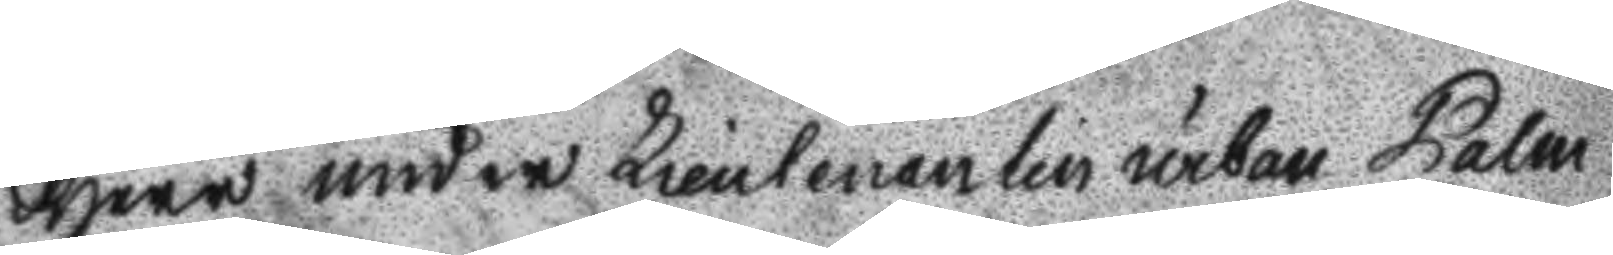Herr under Lieutenanten urban Palm
